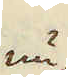nu
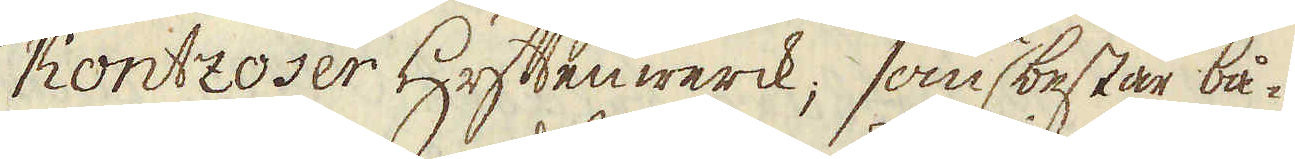Kontzoser Hyttenwerck; som består bå-
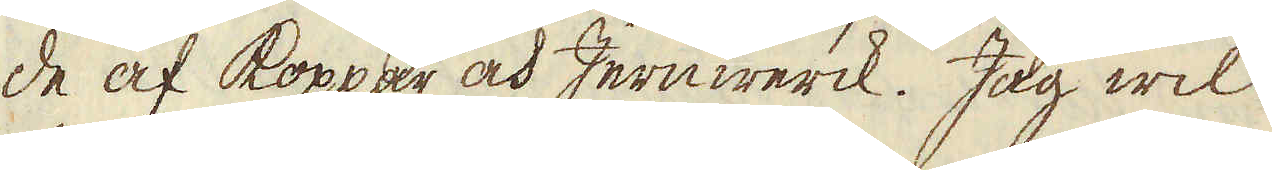de af koppar och Jernwerck. Jag wil
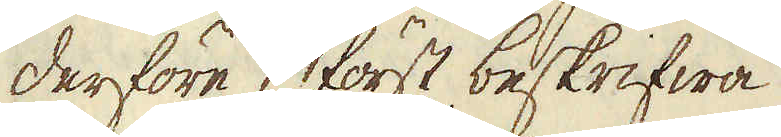derföre först beskrifwa
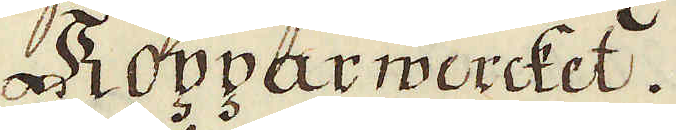Kopparwercket.
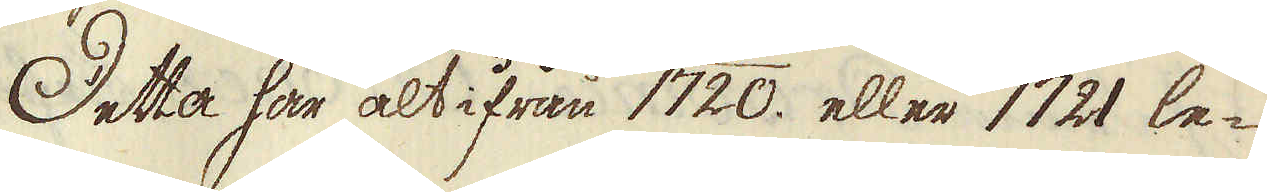Detta har alt ifrån 1720. eller 1721 le-
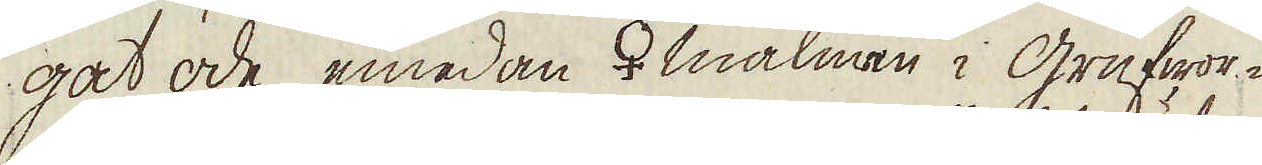gat öde, emedan ♀malmen i grufwor-
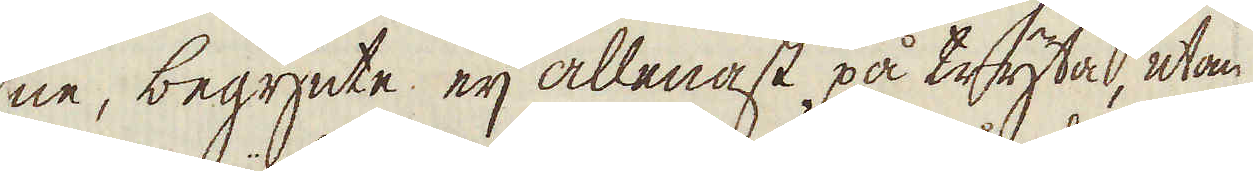ne, begynte eij allenast på tryta, utan
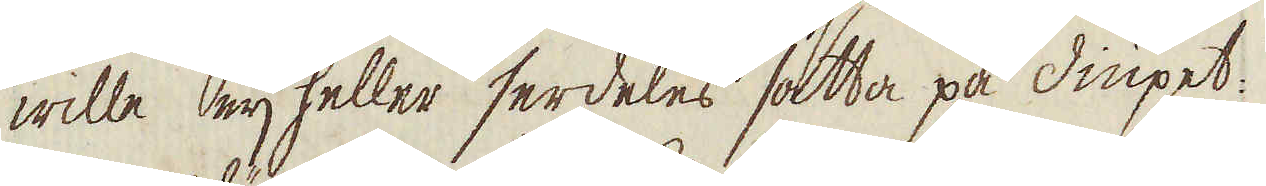wille eij heller serdeles sätta på diupet:
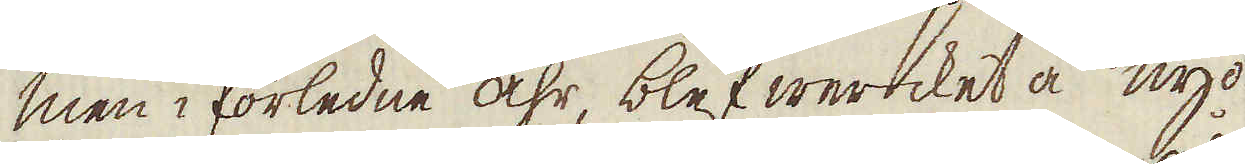men i förledne åhr, blef wercket å nyo
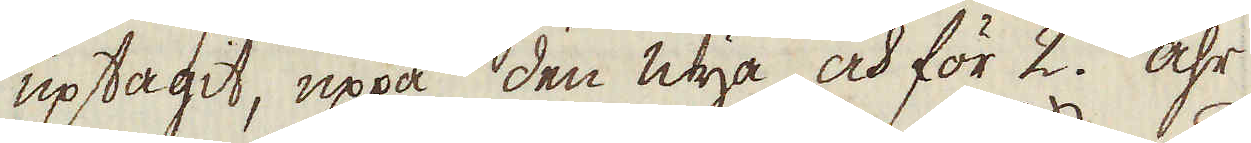uptagit, uppå den nya och för 2. åhr
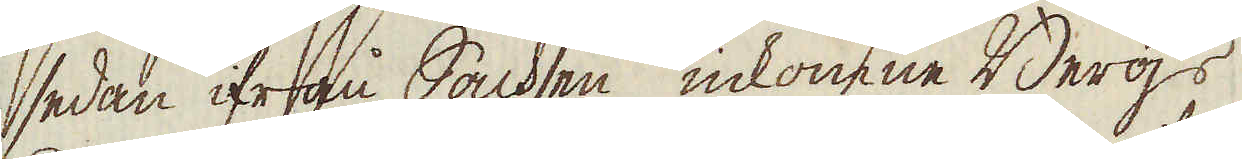sedan ifrån Sachsen inkomne Bergs
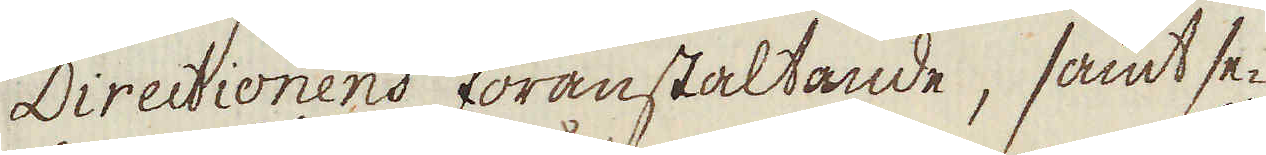Directionens föranstaltande, samt se-
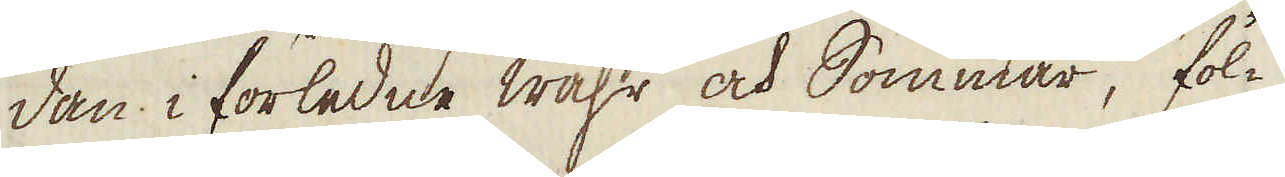dan i förledne wåhr och Sommar, föl-
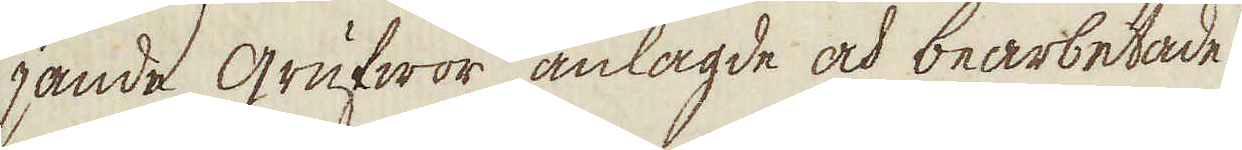jande grufwor anlagde och bearbetade.
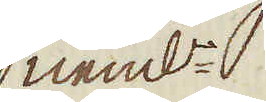neml:n
